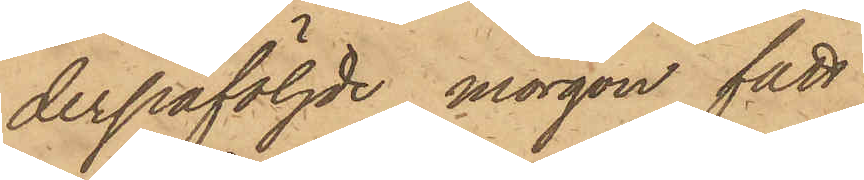derpåföljde morgon fått
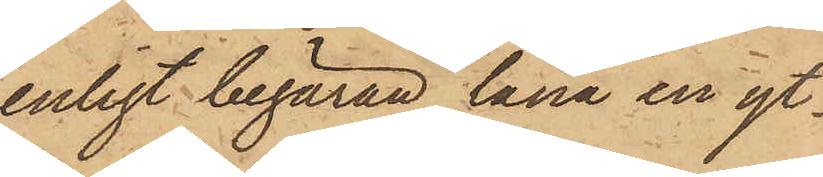enligt begäran låna en yt¬
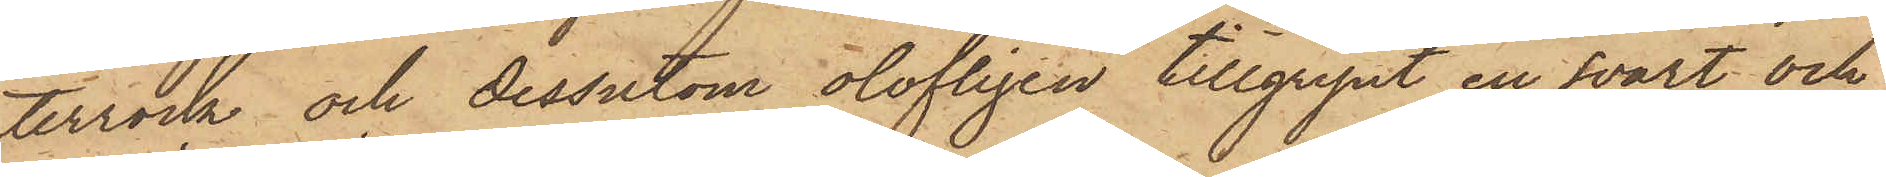terrock och dessutom olofligen tillgripit en svart och
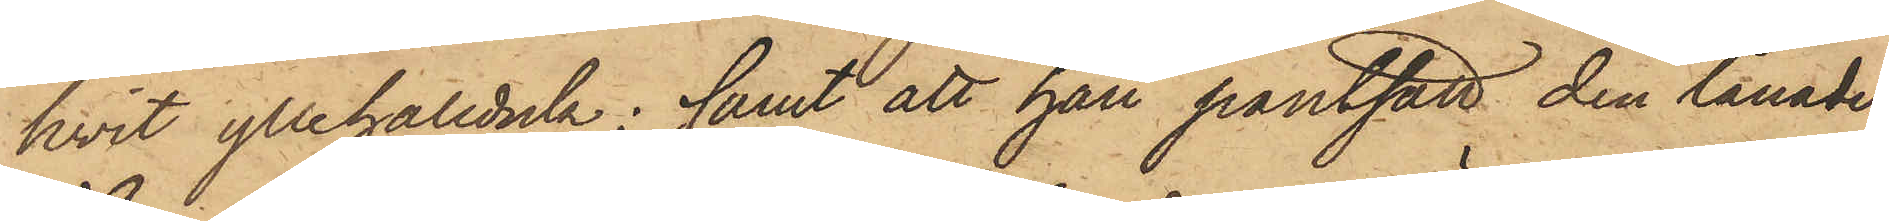hvit yllehalsduk; samt att han pantsatt den lånade
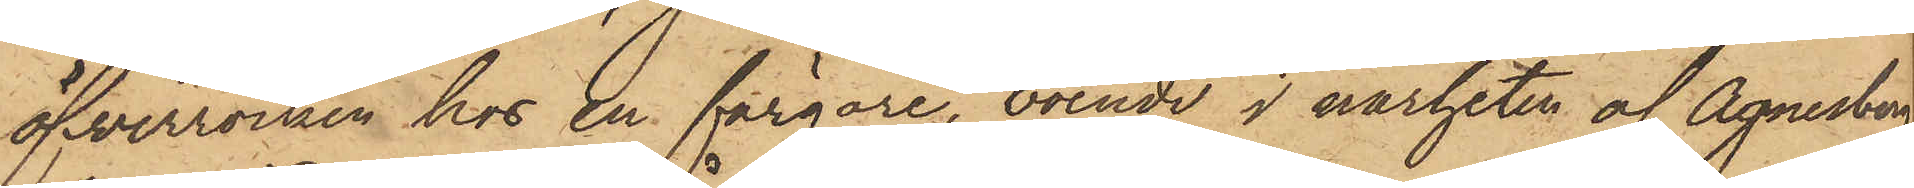öfverrocken hos en färgare, boende i närheten af Agnesberg,
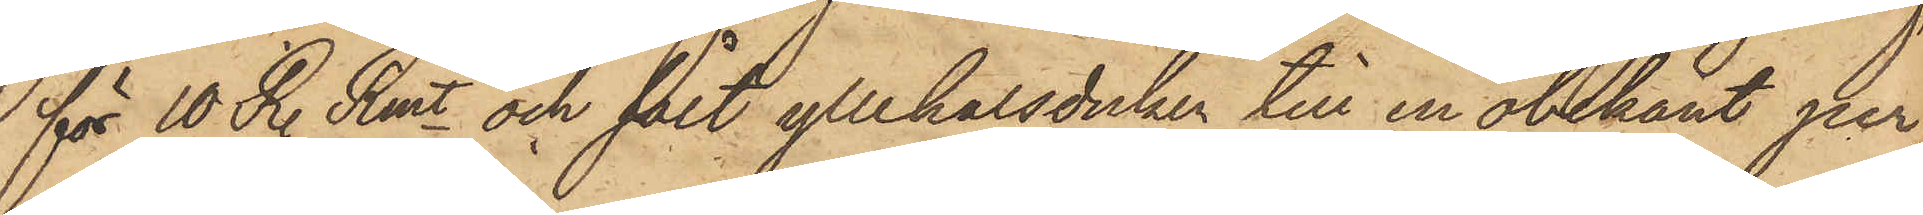för 10 R. Rmt och sålt yllehalsduken till en obekant per¬
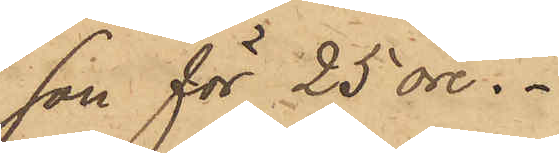son för 25 öre.
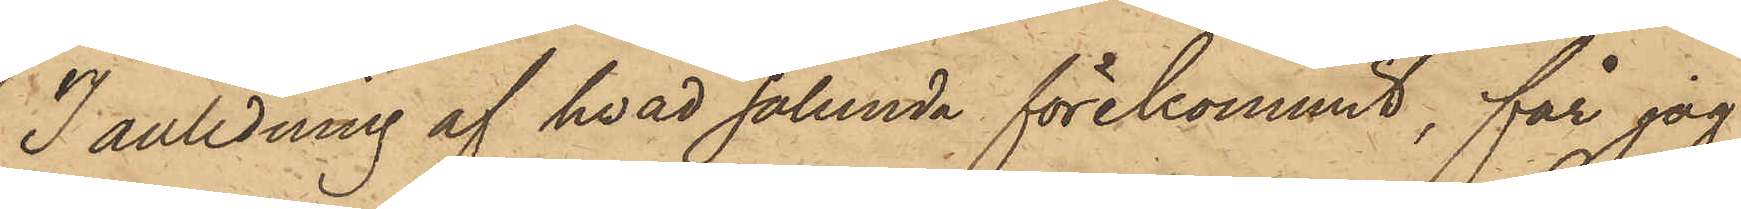I anledning af hvad sålunda förekommit, får jag
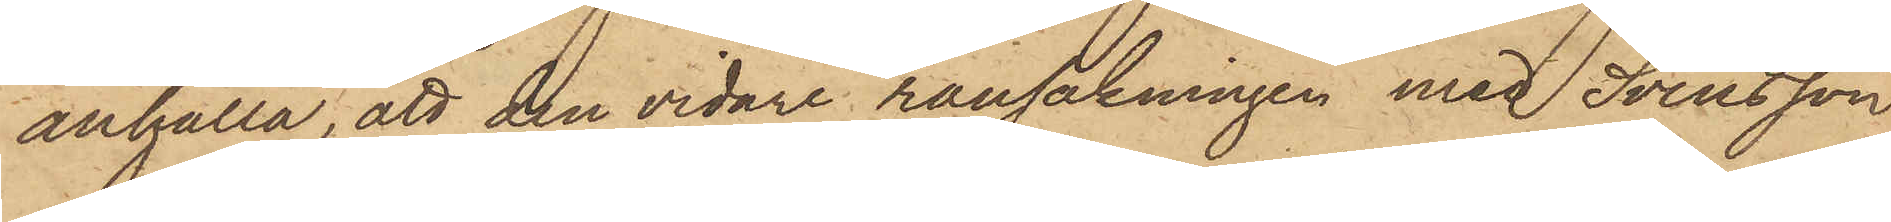anhålla, att den vidare rannsakningen med Svensson,
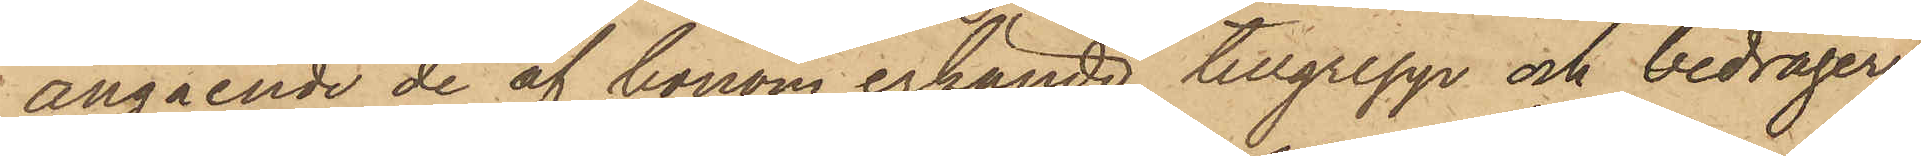angående de af honom erkände tillgrepp och bedrägerier
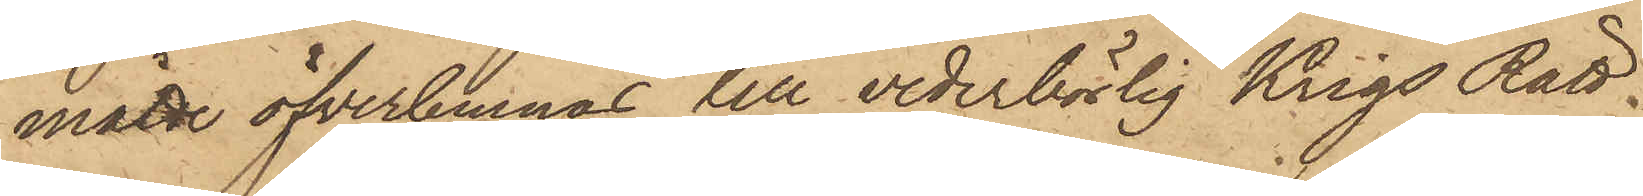måtte öfverlemnas till vederbörlig KrigsRätt.
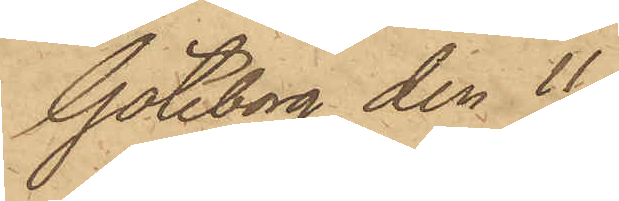Göteborg den 11
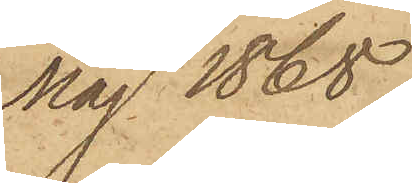Maj 1868.
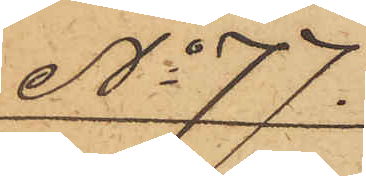No 77.
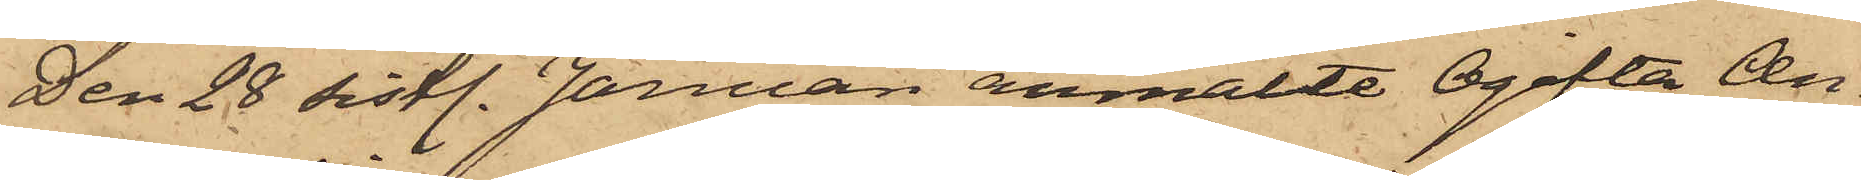Den 28 sistl. Januari anmälte Ogifta An¬
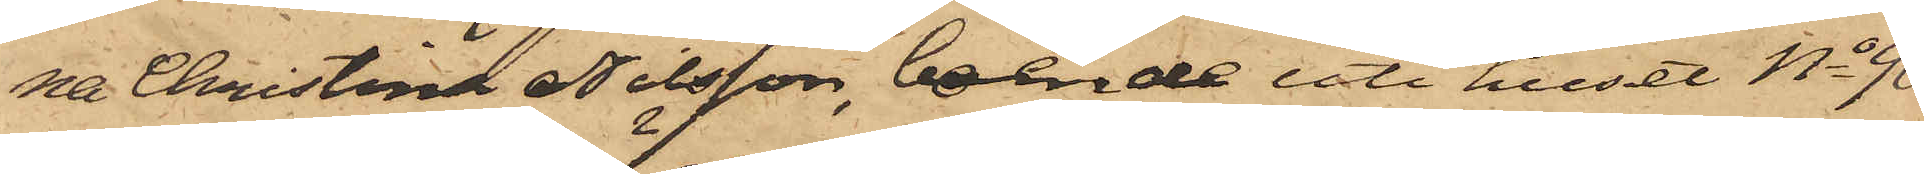na Christina Nilsson, boende uti huset No 90
